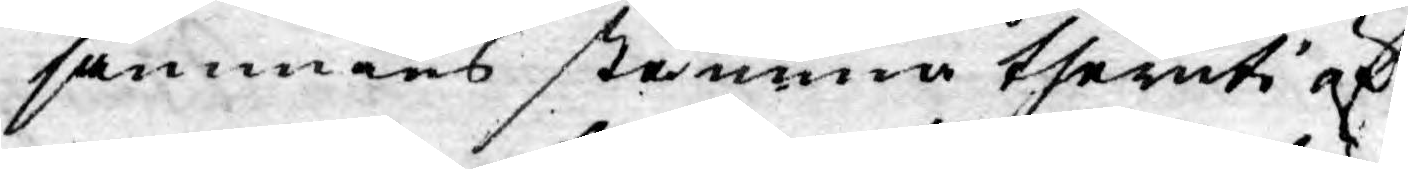sammans stämma theruti öf¬
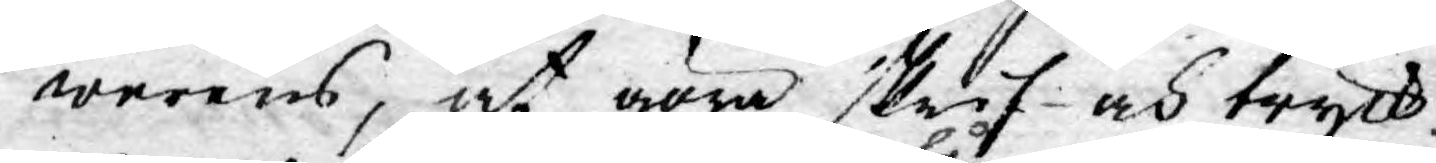werens, at göra skrif- och tryck¬
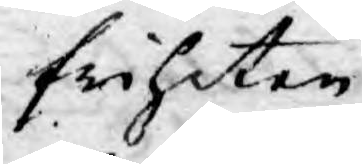friheten
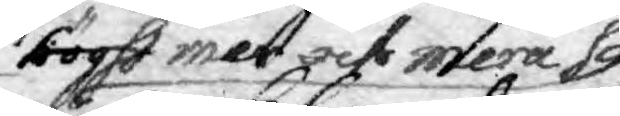högt mer och mera så
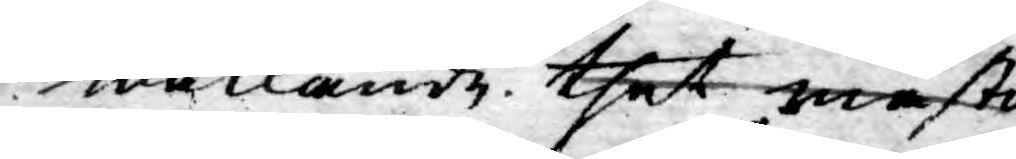waklande. thet måste
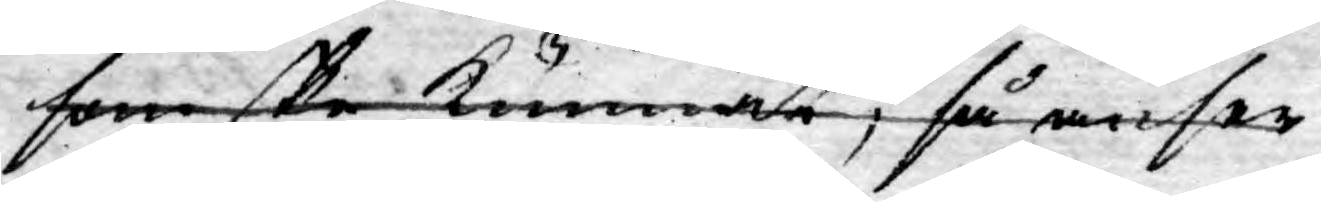som ske kunnat, så anser
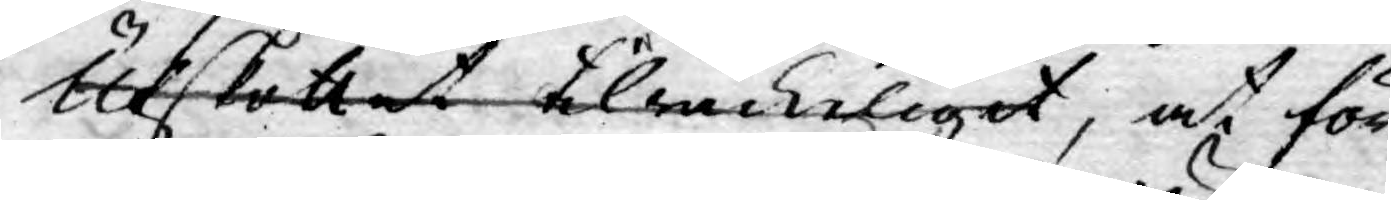Utskottet tilräckeligit, at för
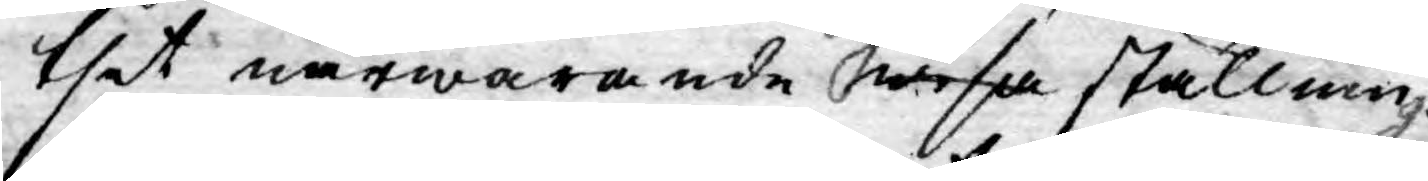thet närwarande des wisa ställninge
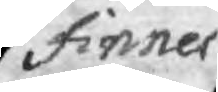finner
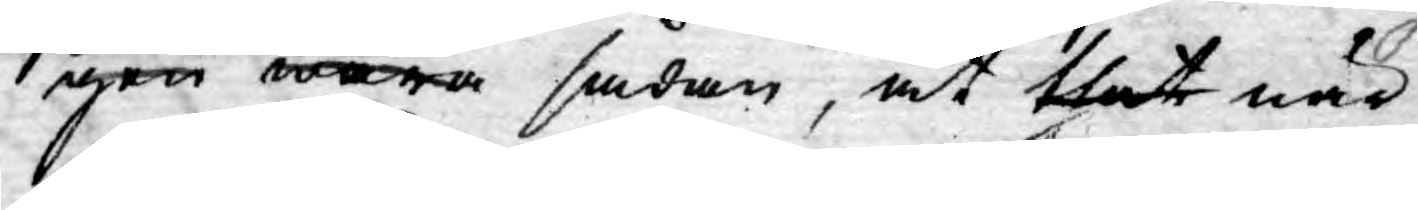gen wara sådan, at thet när
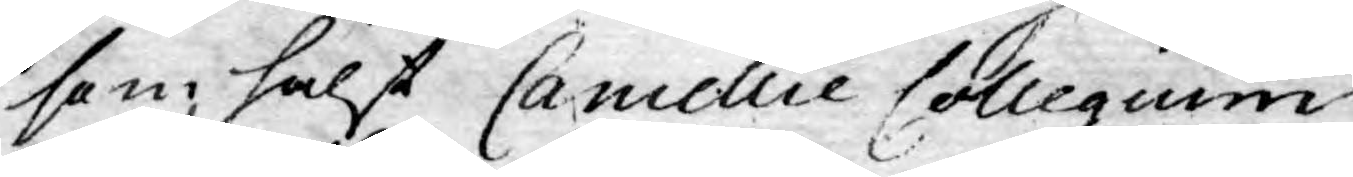som hälst Cancellie Collegium
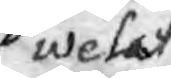welat
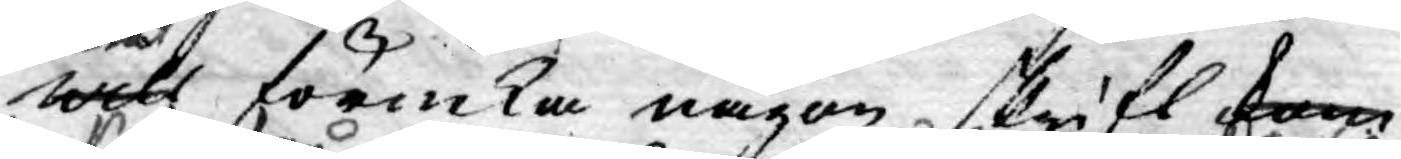wilt förneka någon skrift kom¬
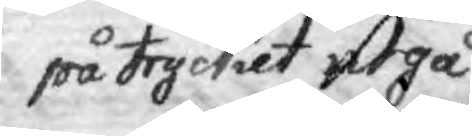på trycket utgå
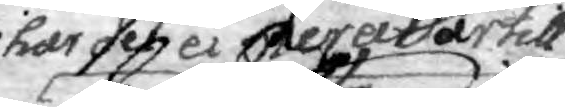har det ei mera dertil
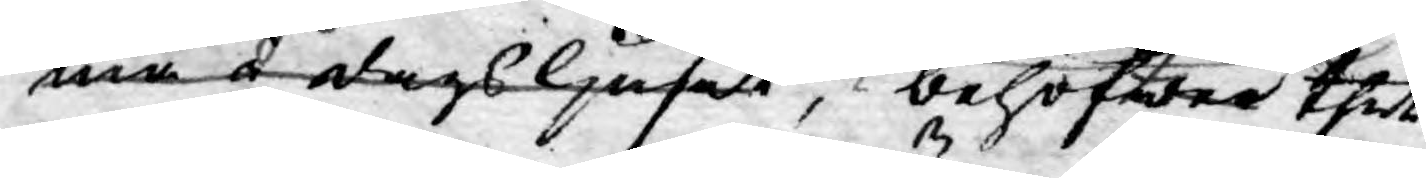mer å dags ljuset, behöfwer thet
